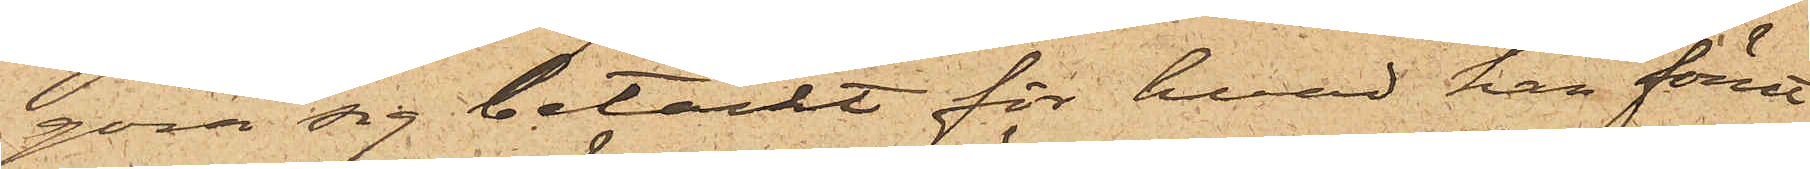göra sig betäckt för hvad han förut¬
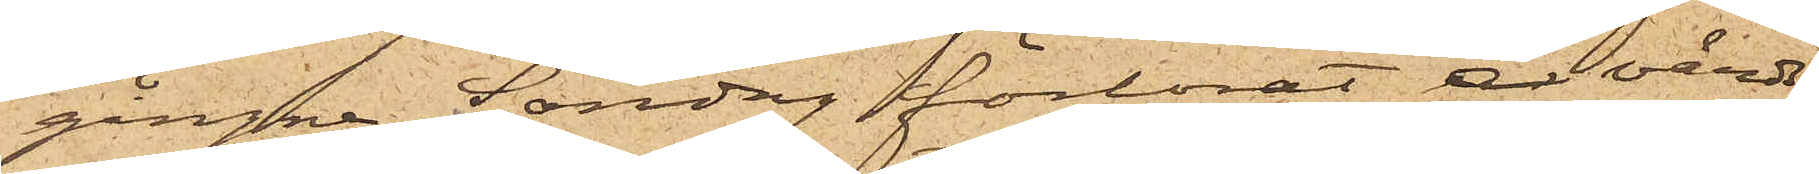gångne Söndag förlorat å värds¬
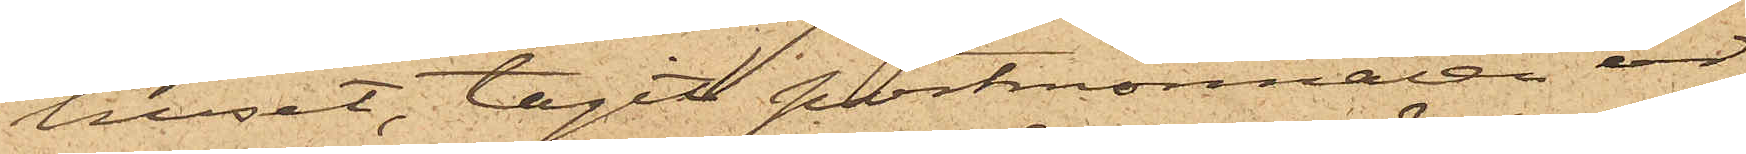huset, tagit portmonnaien ur
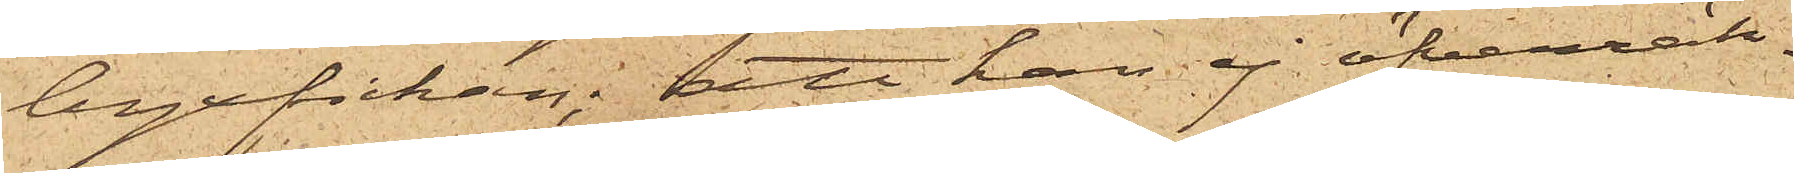byxfickan; att han ej öfverräk¬
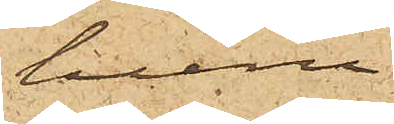huru
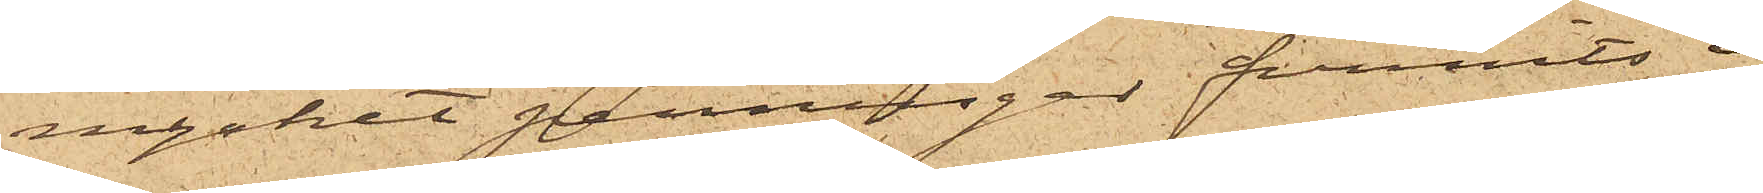mycket penningar funnits i
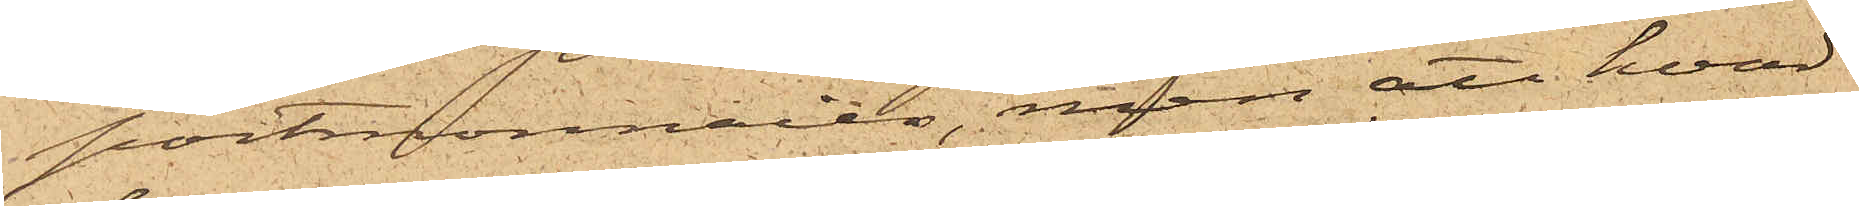portmonnaien, men att hvad
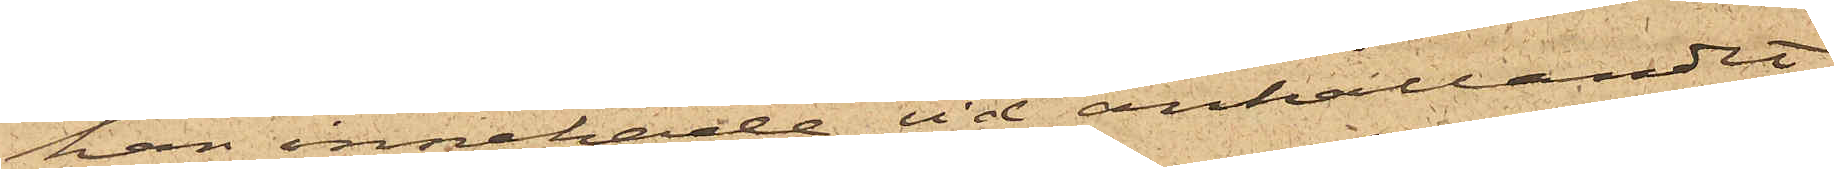han innehade vid anhållandet
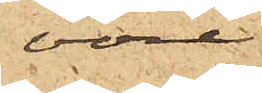vore
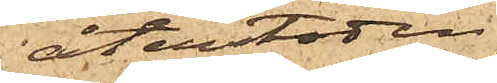återstoden
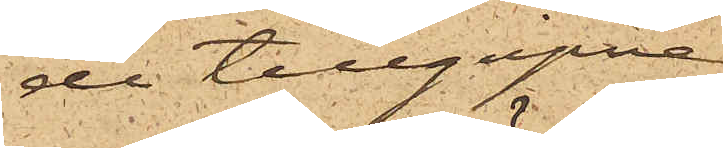de tillgripne
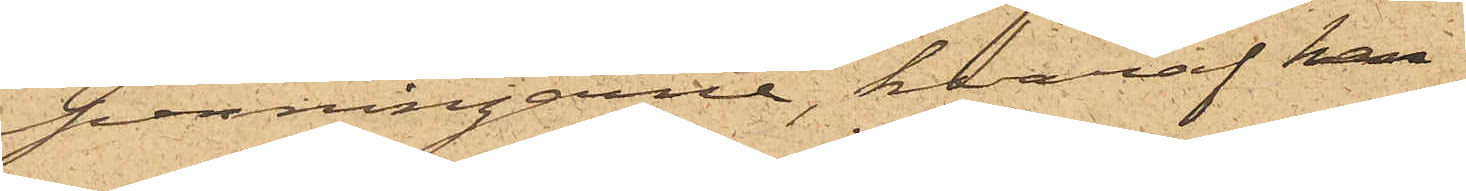penningarne, hvaraf han
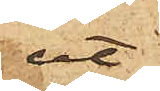ut¬
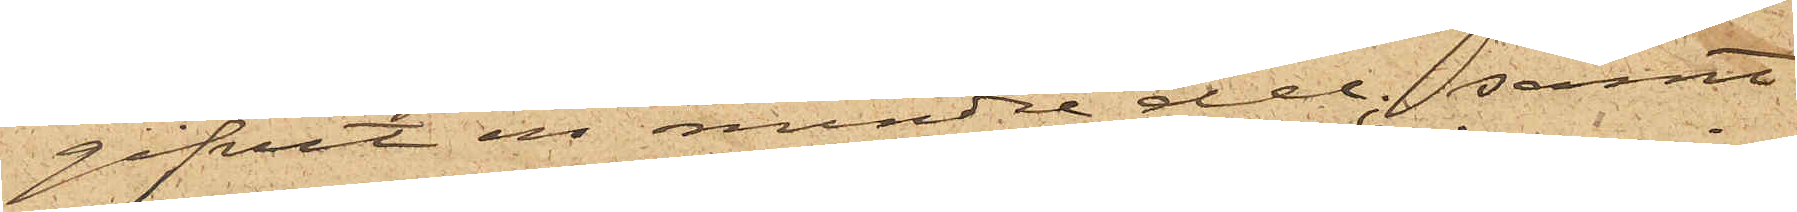gifvit en mindre del; samt
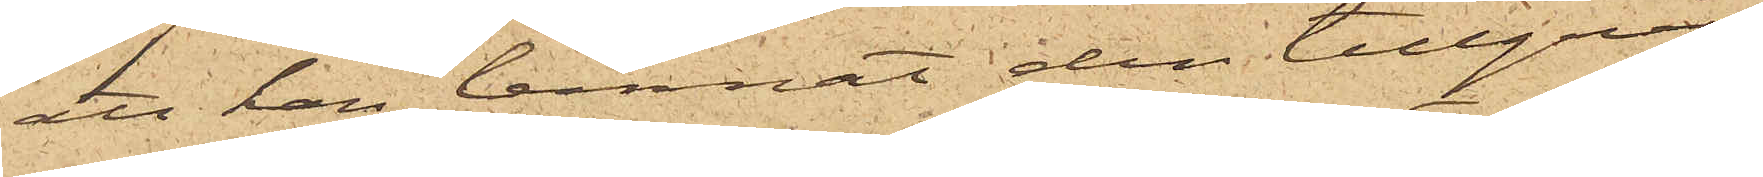att han lemnat den tillgrip¬
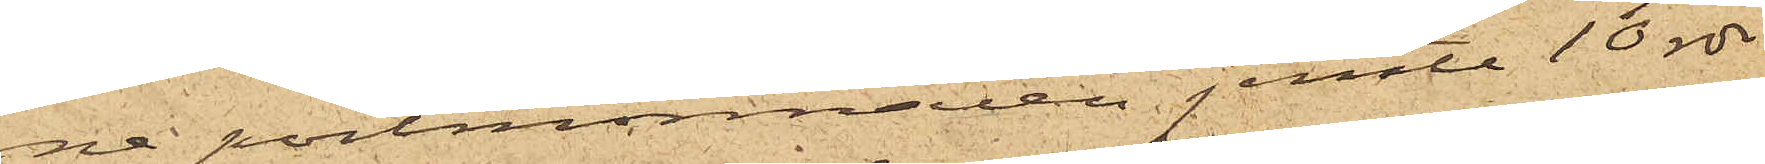ne portmonnaien jemte 10 rdr
